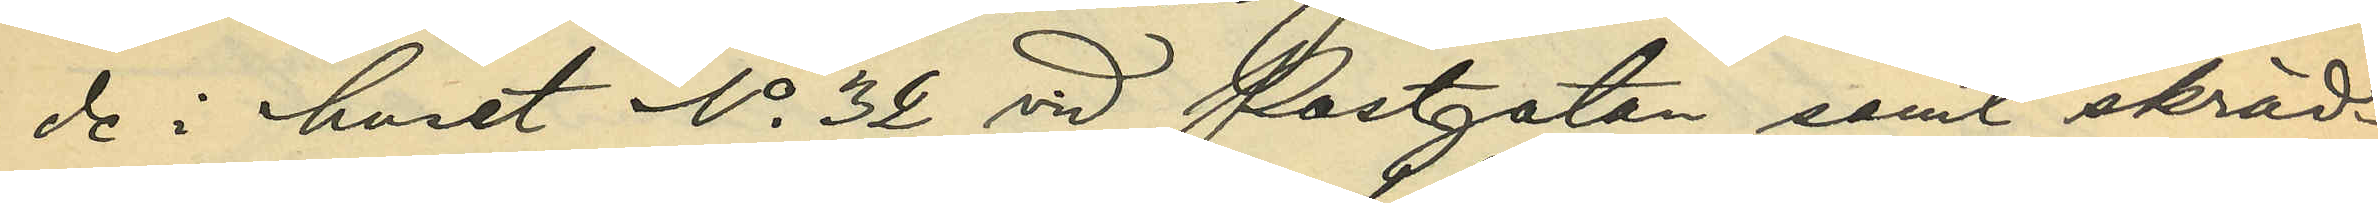de i huset No 32 vid Postgatan samt skräd¬
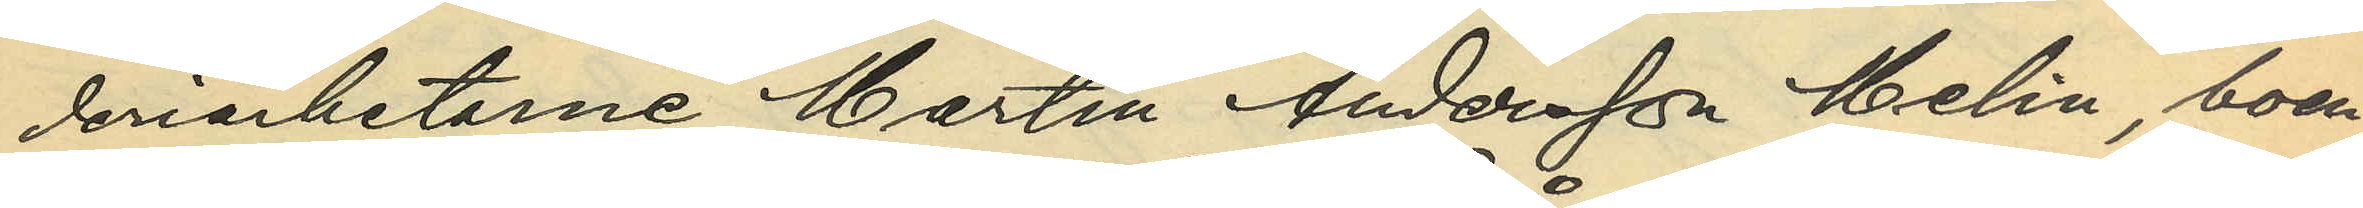deriarbetarne Martin Andersson Melin, boen¬
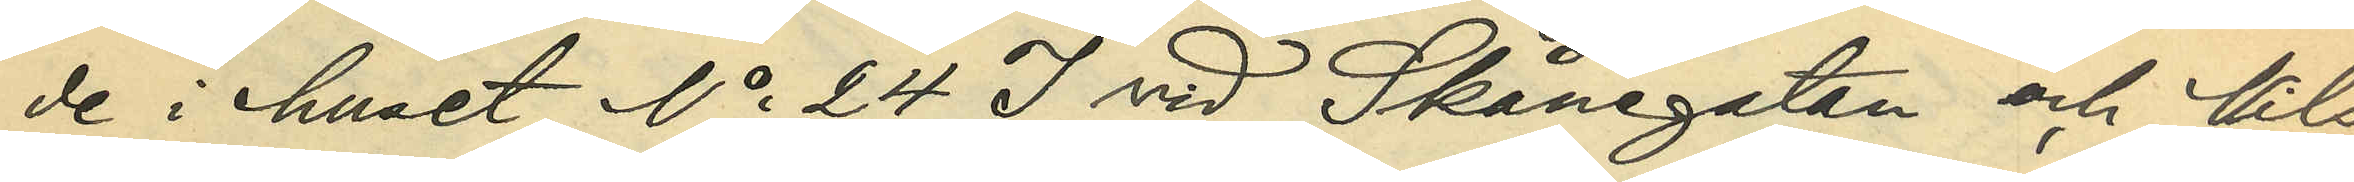de i huset No 24 I vid Skånegatan och Nils
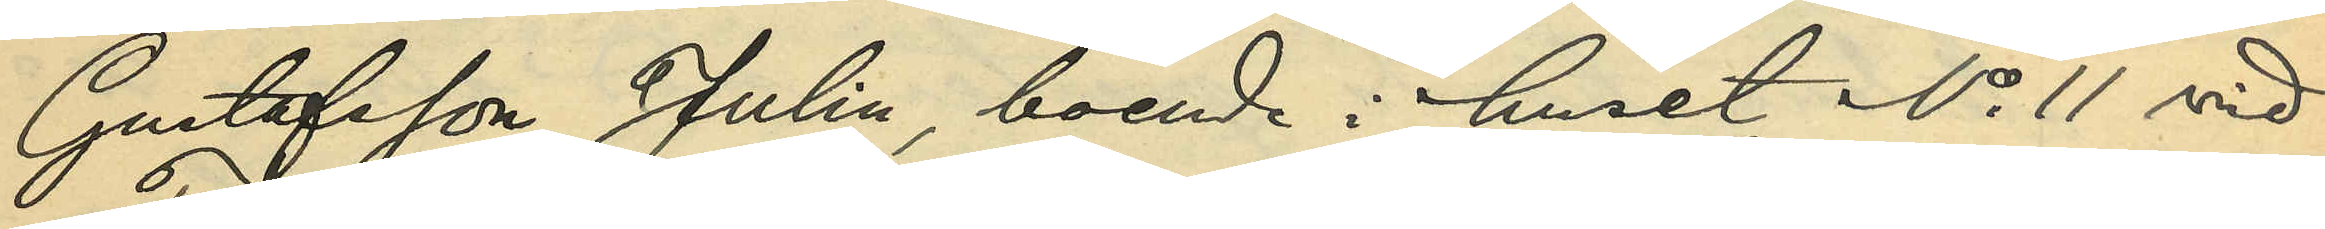Gustafsson Juhlin, boende i huset No 11 vid
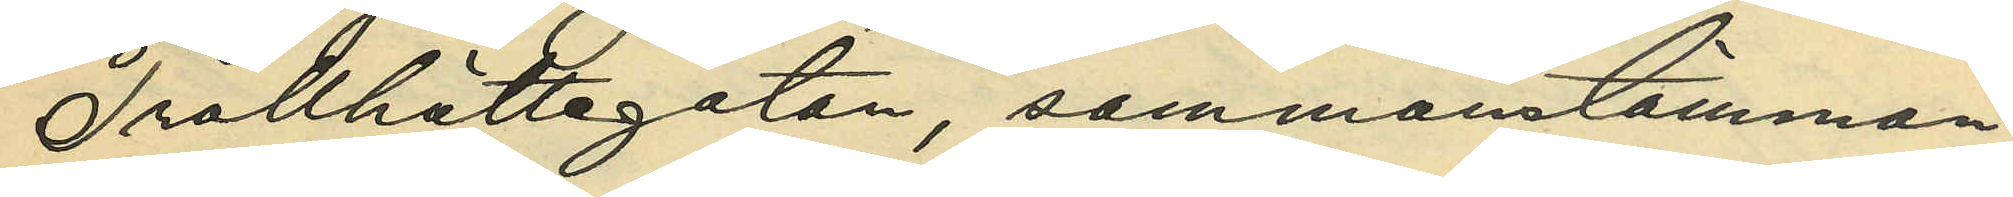Trollhättegatan, sammanstämman¬
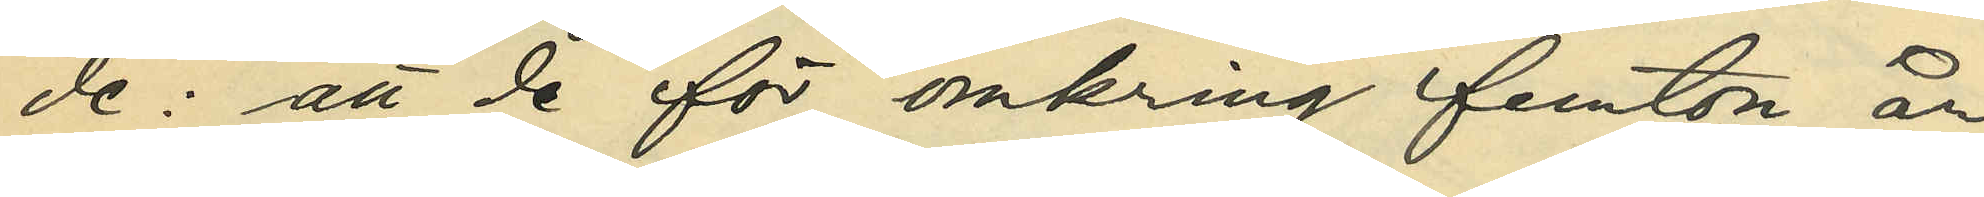de: att de för omkring femton år
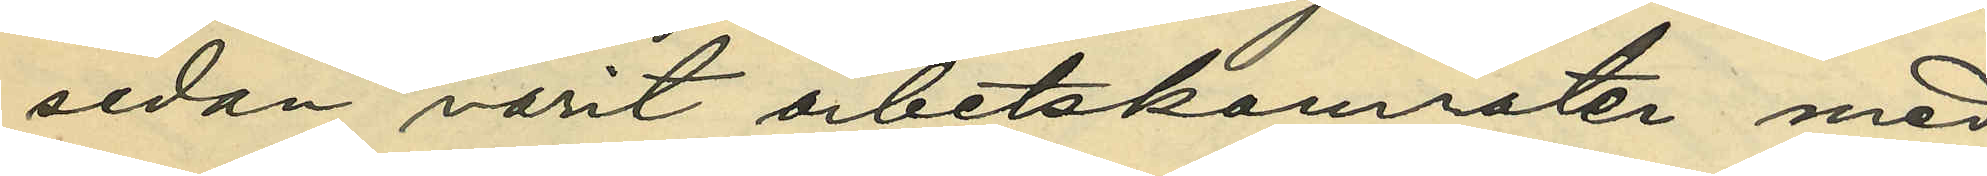sedan varit arbetskamrater med
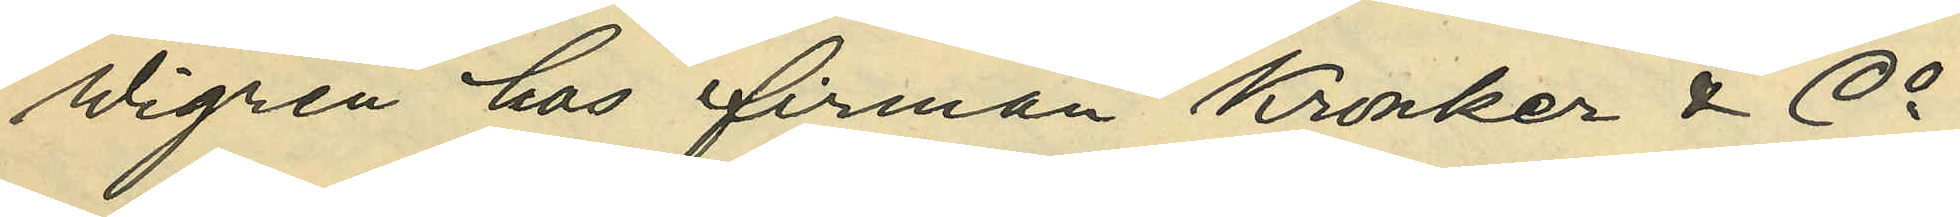Wigren hos firman Kronker & Co;
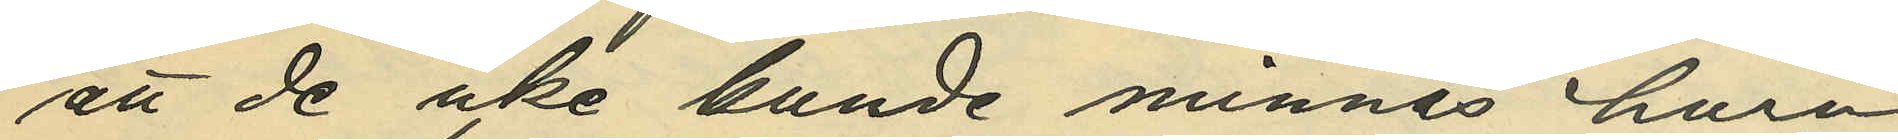att de icke kunde minnas huru
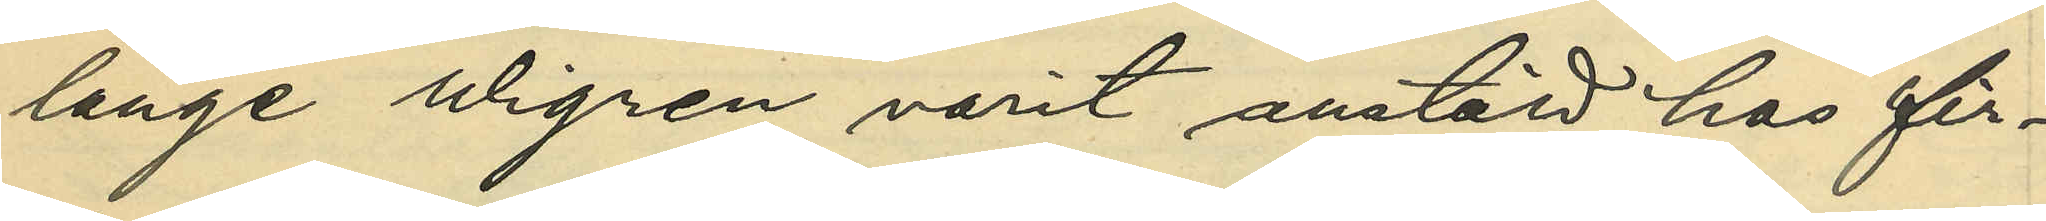länge Wigren varit anstäld hos fir¬
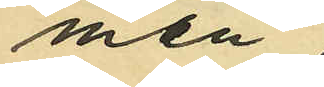man;
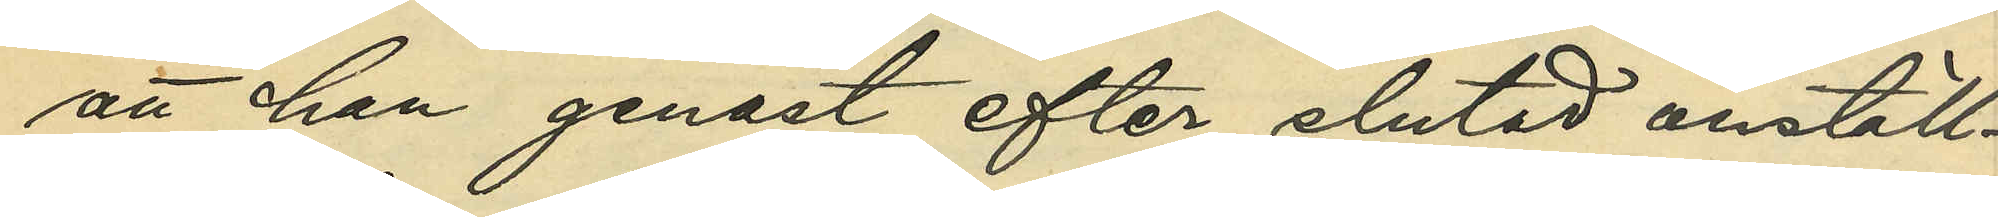att han genast efter slutad anställ¬
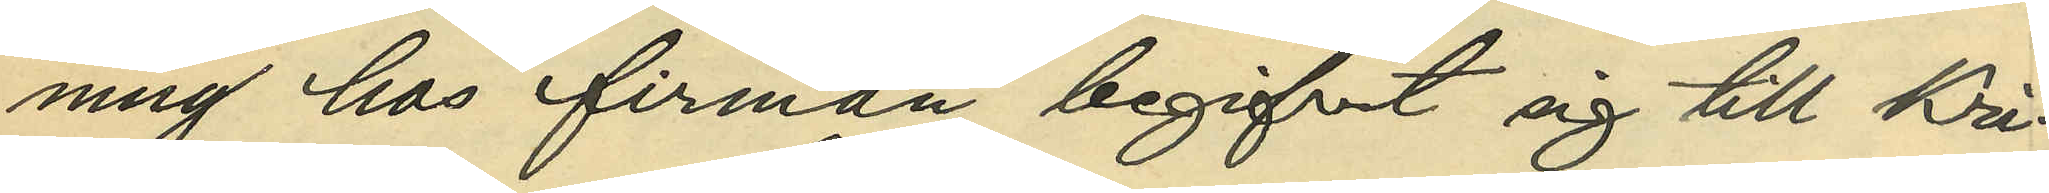ning hos firman begifvit sig till Kri¬
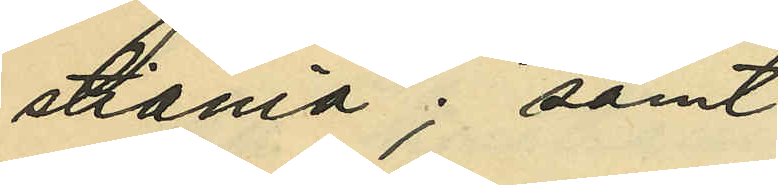stiania; samt
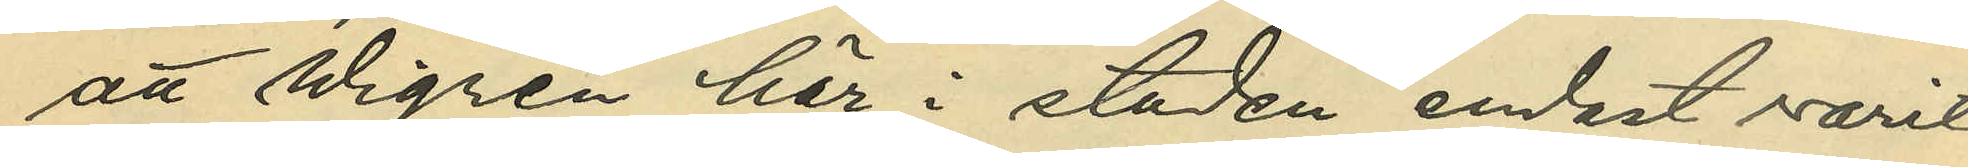att Wigren här i staden endast varit
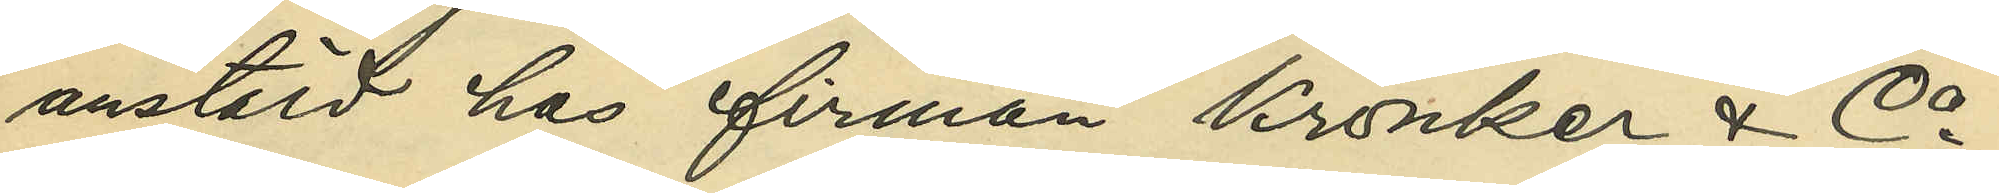anstäld hos firman Kronker & Co;
